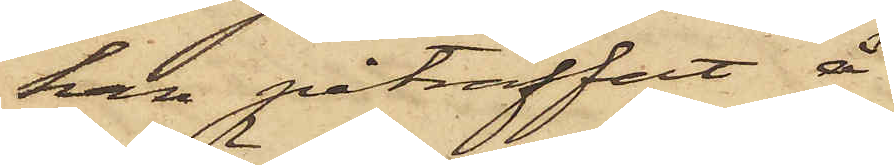han påträffat å
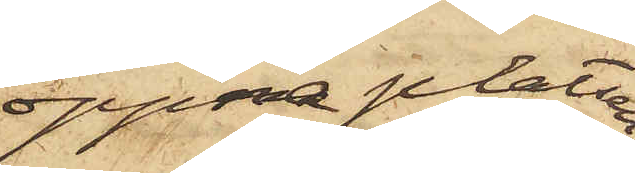öppna platsen
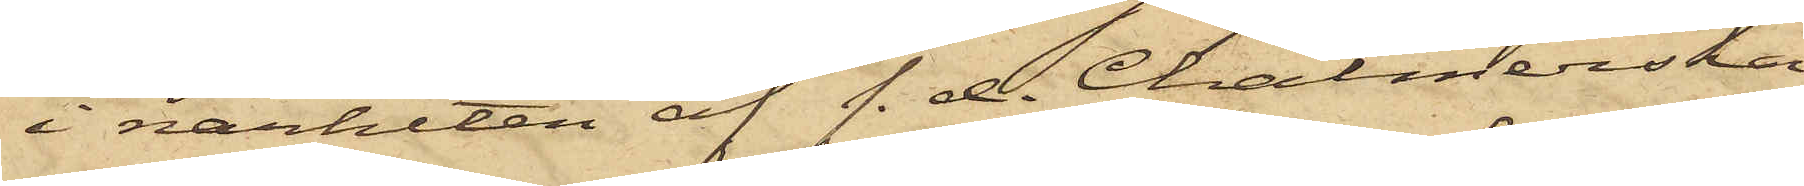i närheten af f. d. Chalmerska
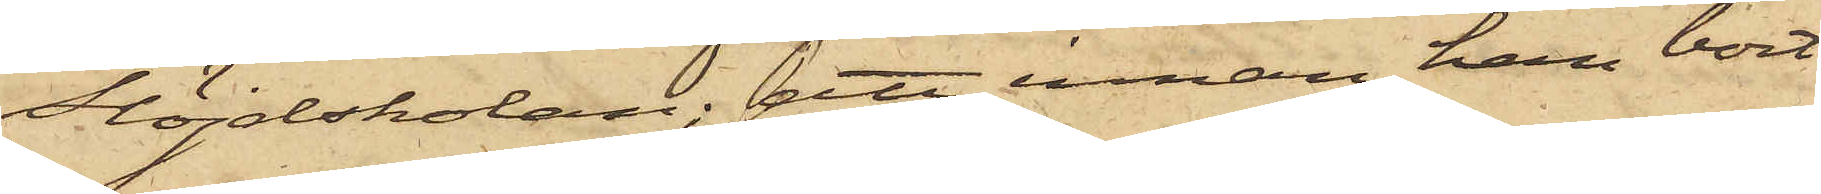Slöjdskolan; att innan han bort¬
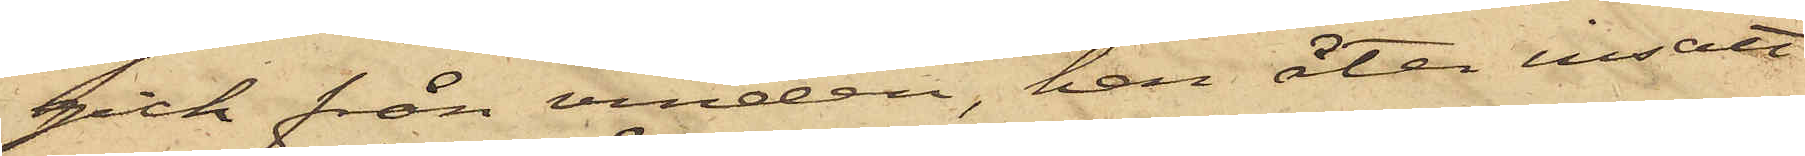gick från vinden, han åter insatt
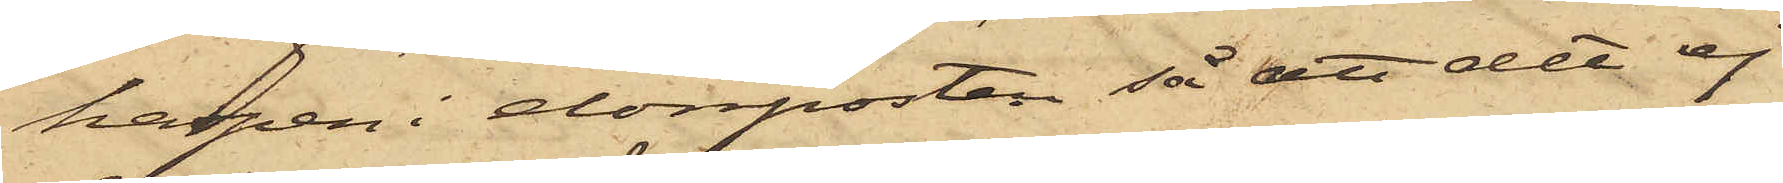haspen i dörrposten så att det ej
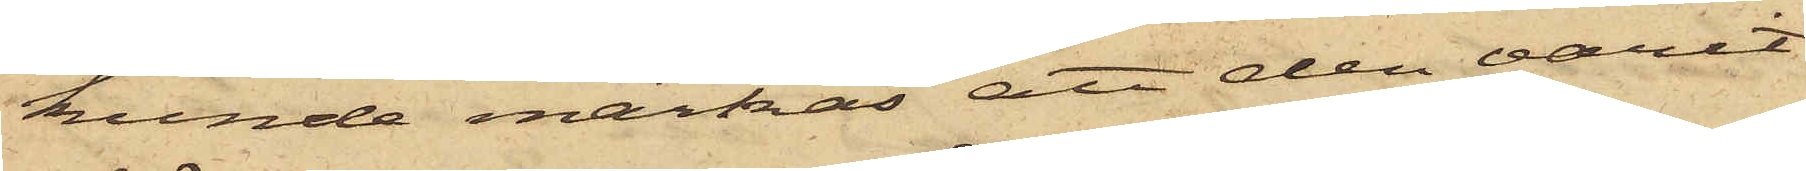kunde märkas att den varit
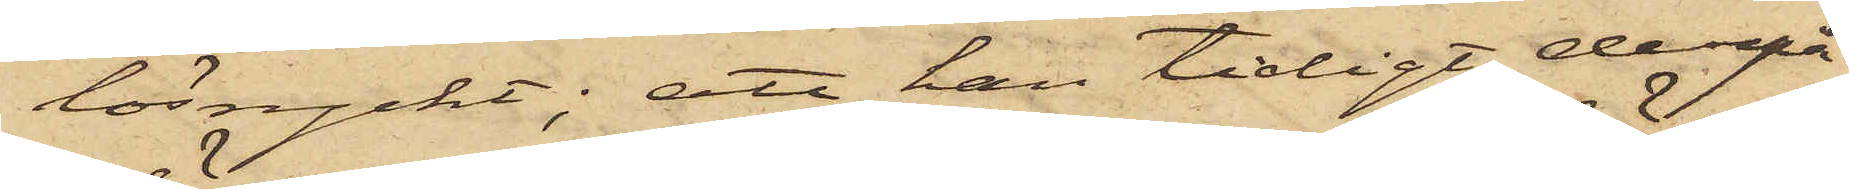lösryckt; att han tidigt derpå¬
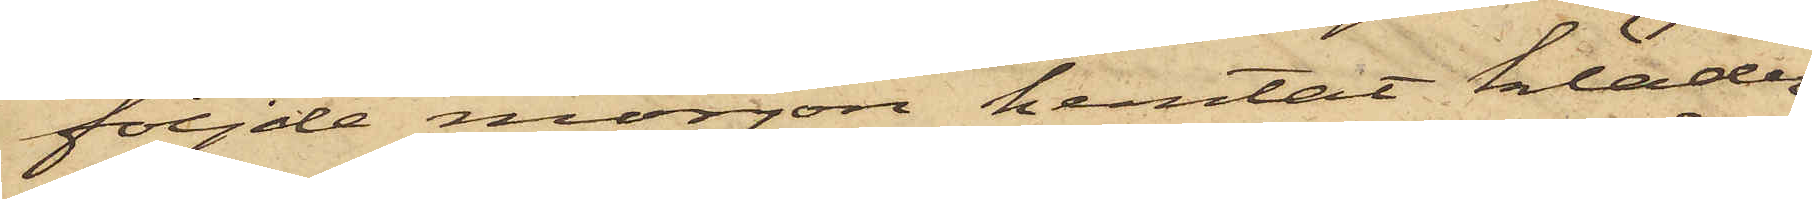följde morgon hemtat kläder¬
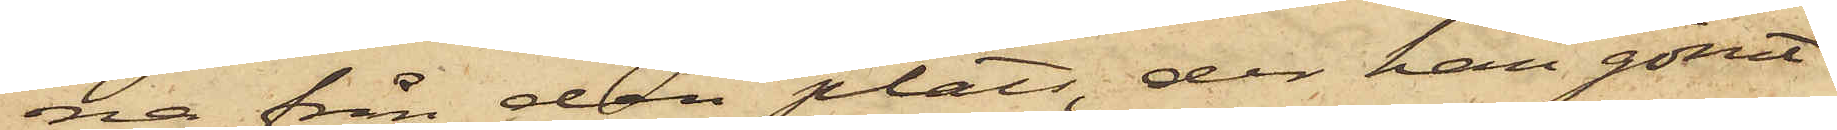na från den plats, der han gömt
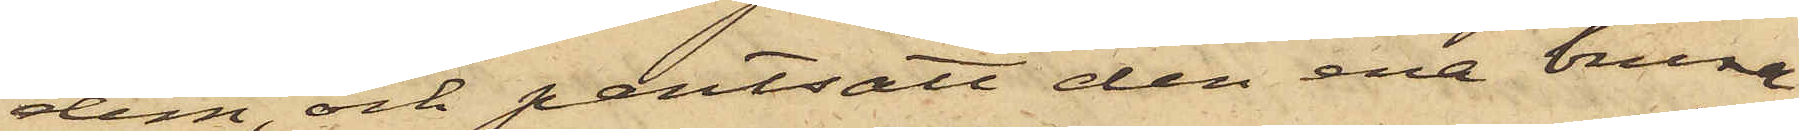dem och pantsatt den ena bruna
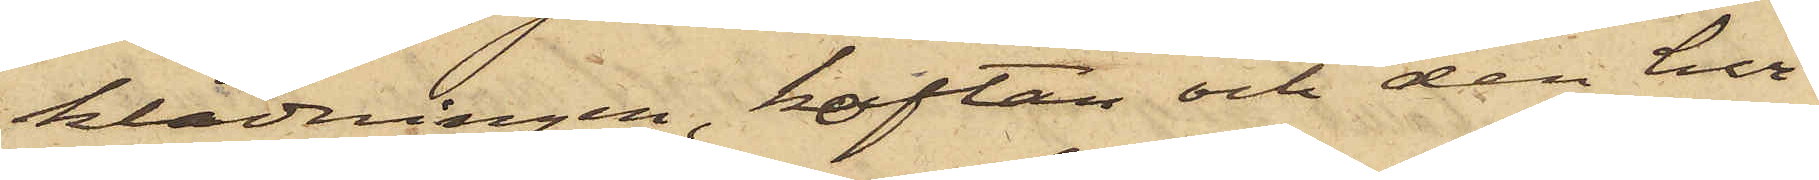klädningen, koftan och den hvi¬
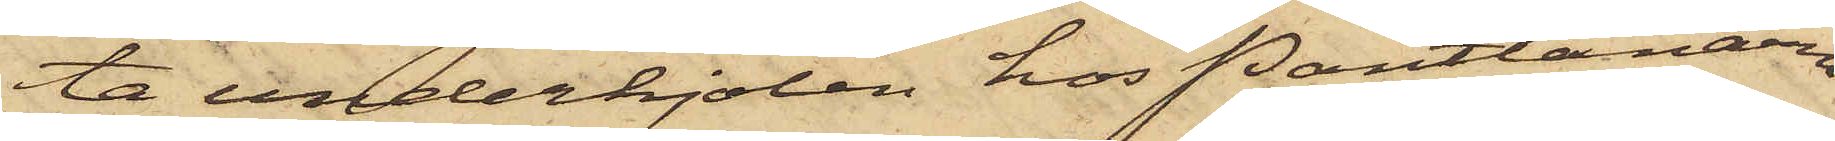ta underkjolen hos Pantlånaren
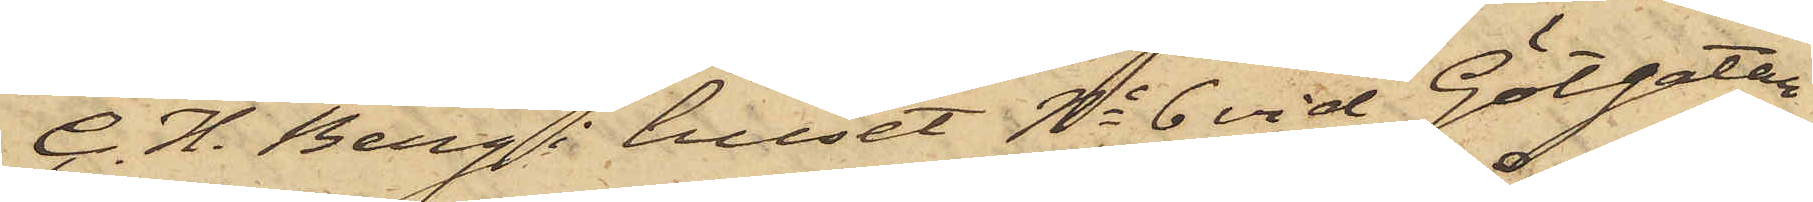C. H. Berg i huset No 6 vid Götgatan
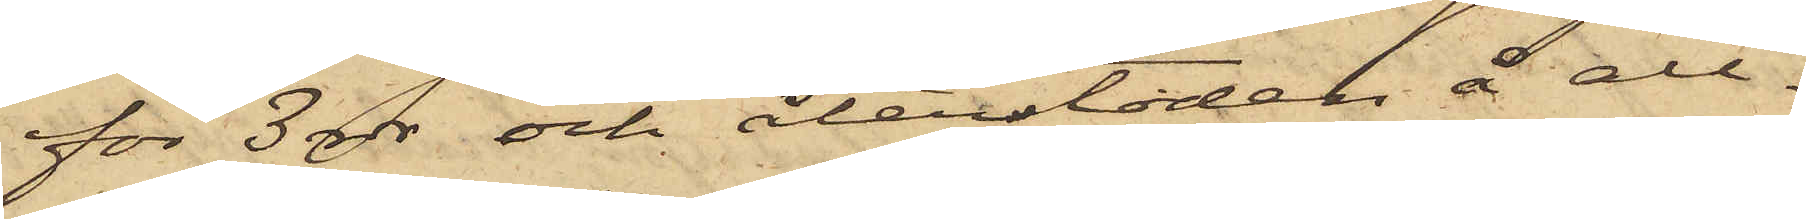för 3 rdr och återstoden å all¬
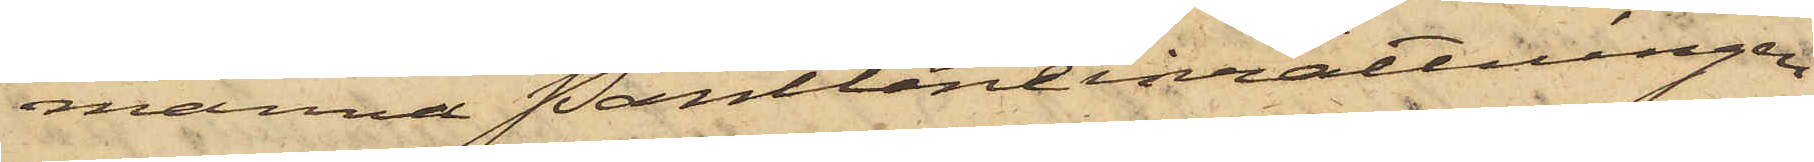männa Pantlåneinrättningen
